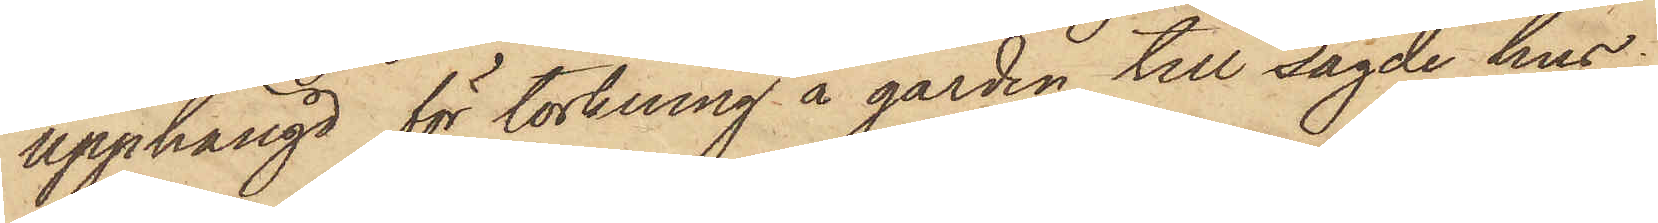upphängd för torkning å gården till sagde hus.
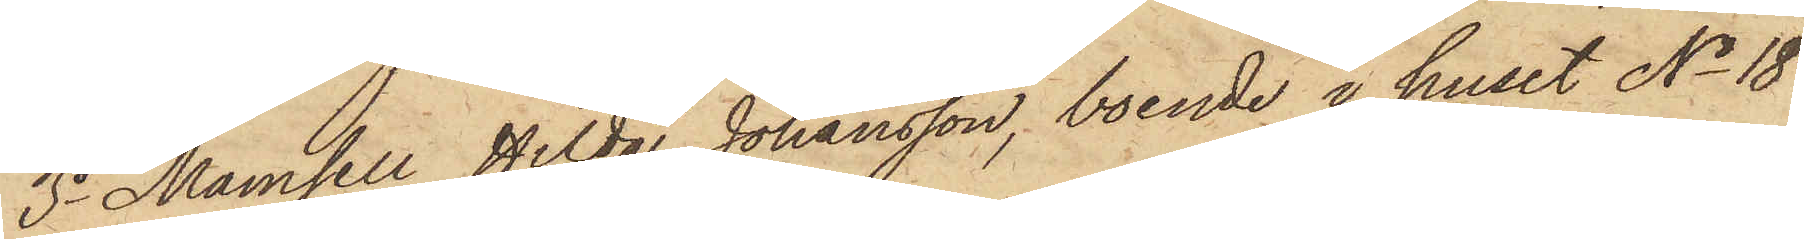3o Mamsell Hilda Johansson, boende i huset No 18
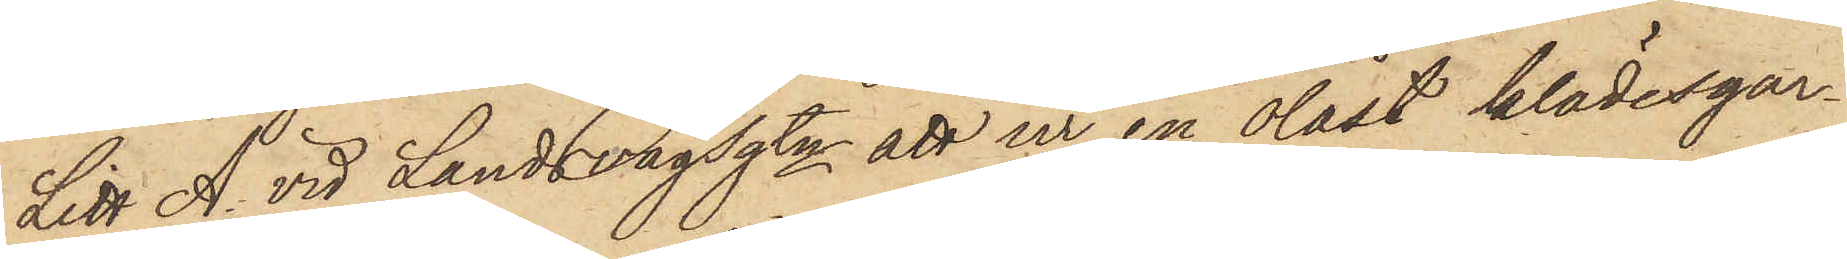Litt A. vid Landsvägsgtn att ur en olåst klädesgar¬
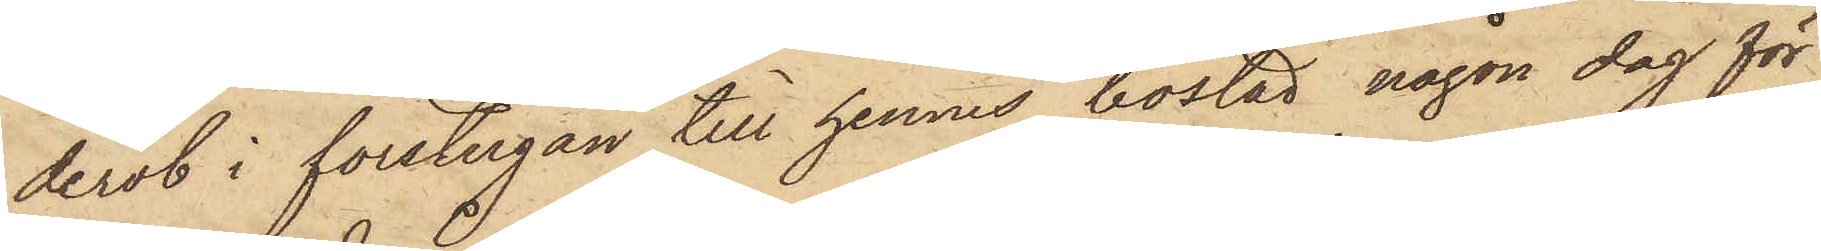derob i förstugan till hennes bostad någon dag för
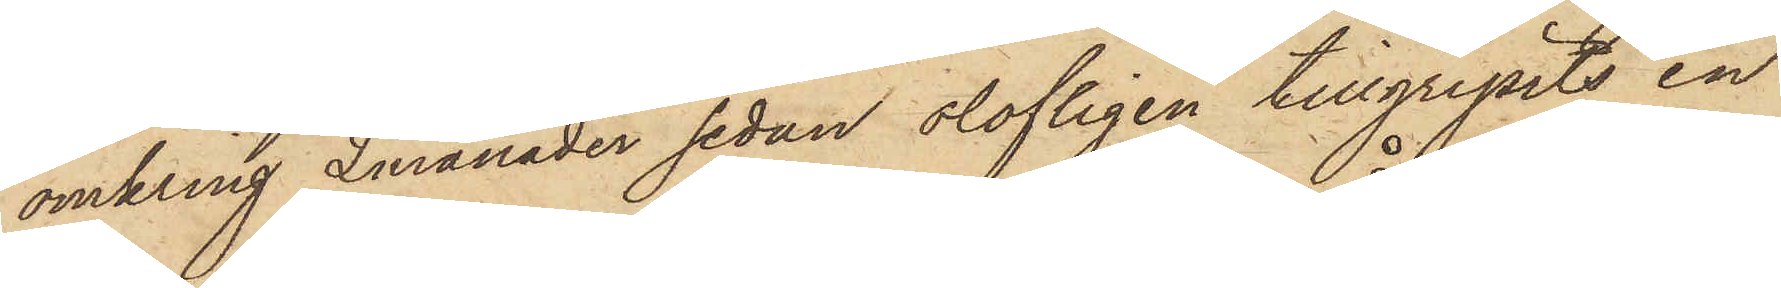omkring 2 månader sedan olofligen tillgripits en
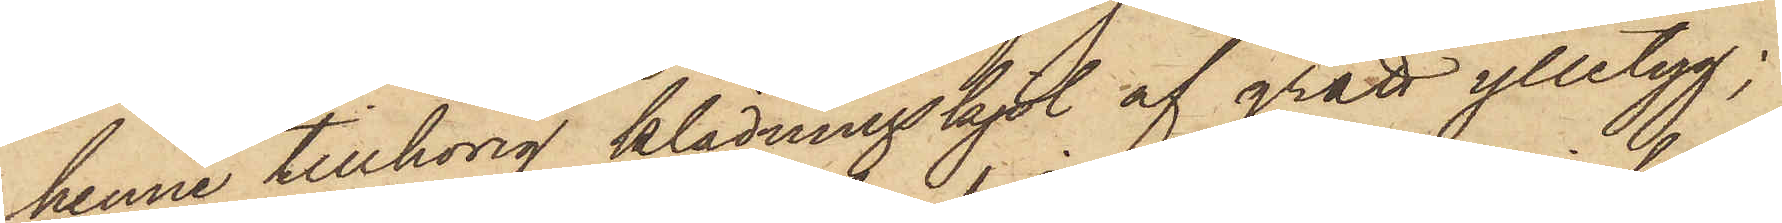henne tillhörig klädningskjol af grått ylletyg;
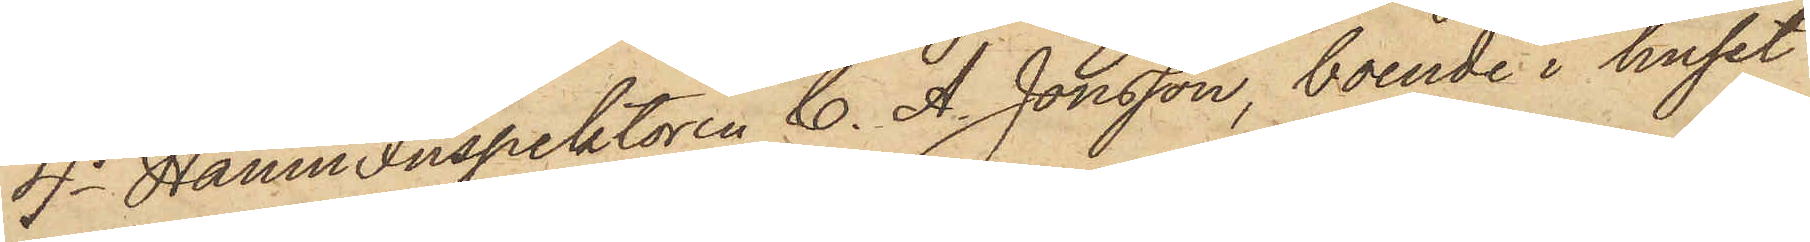4o HamnInspektoren C. A. Jonsson, boende i huset
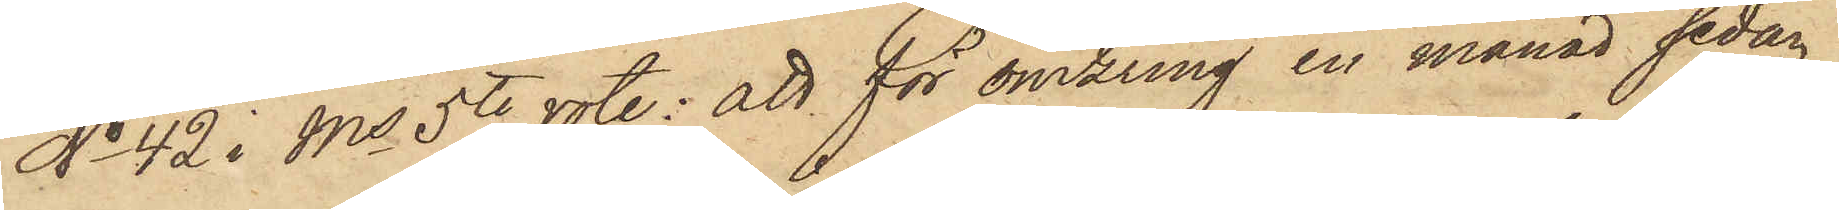No 42 i Ms 5te rote; att för omkring en månad sedan
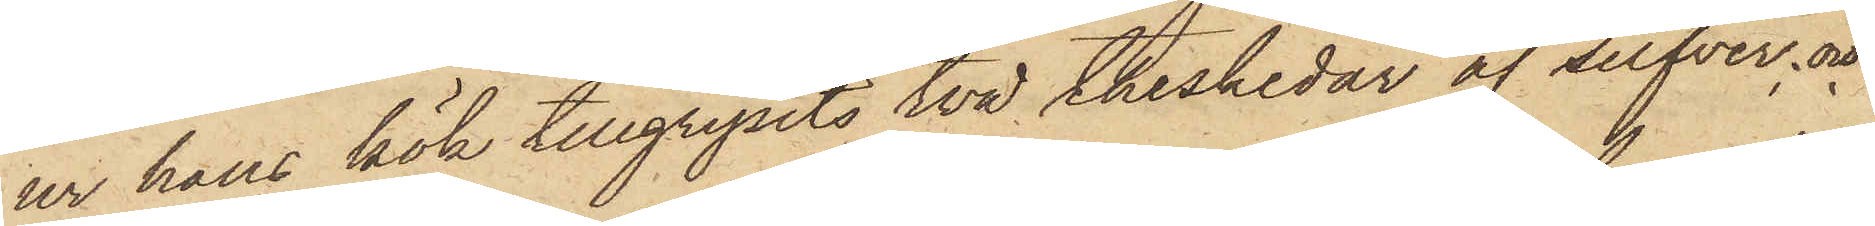ur hans kök tillgripits två theshedar af silfver; och
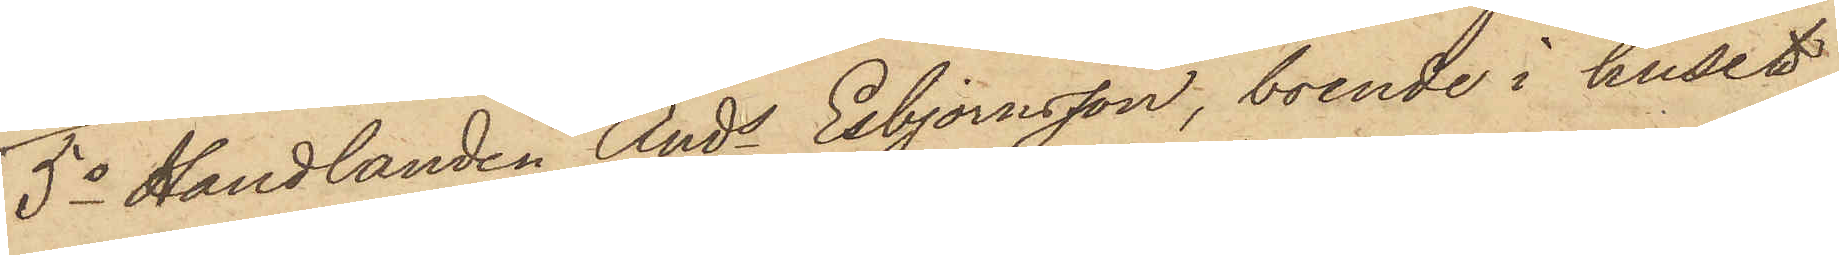5o Handlanden Ands Esbjornsson, boende i huset
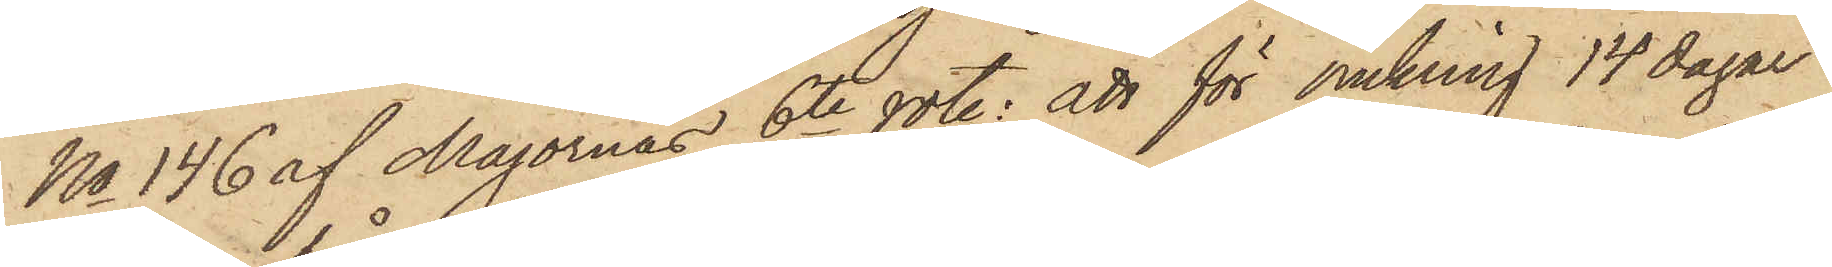No 146 af Majornas 6te rote; att för omkring 14 dagar
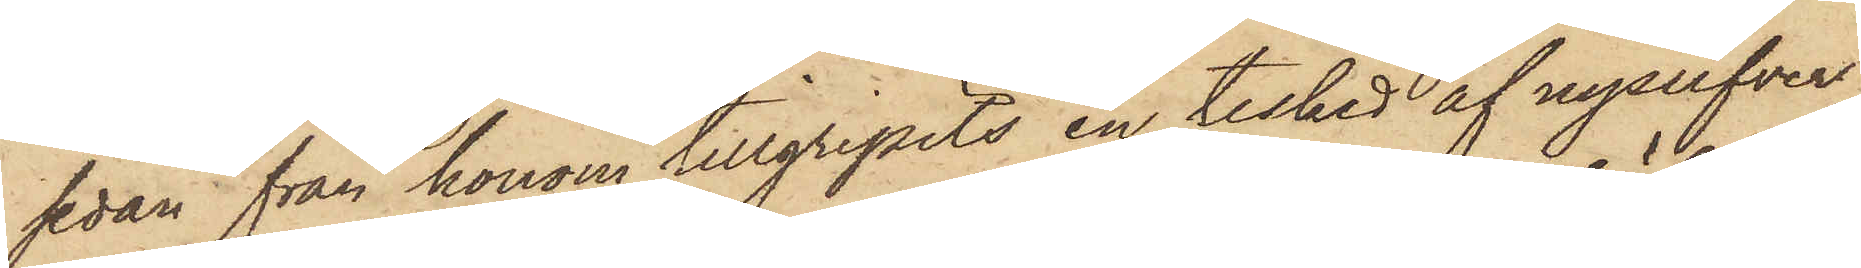sedan från honom tillgripits en tesked af nysilfver,
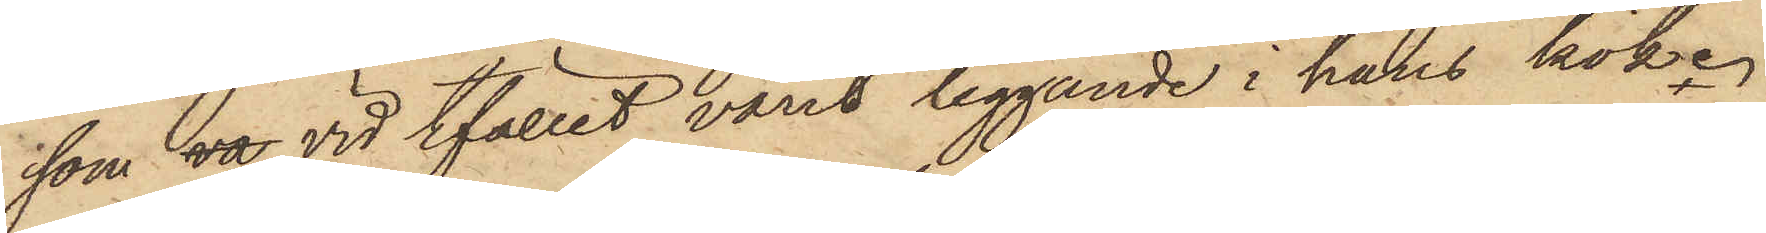som va vid tfället varit liggande i hans kök.
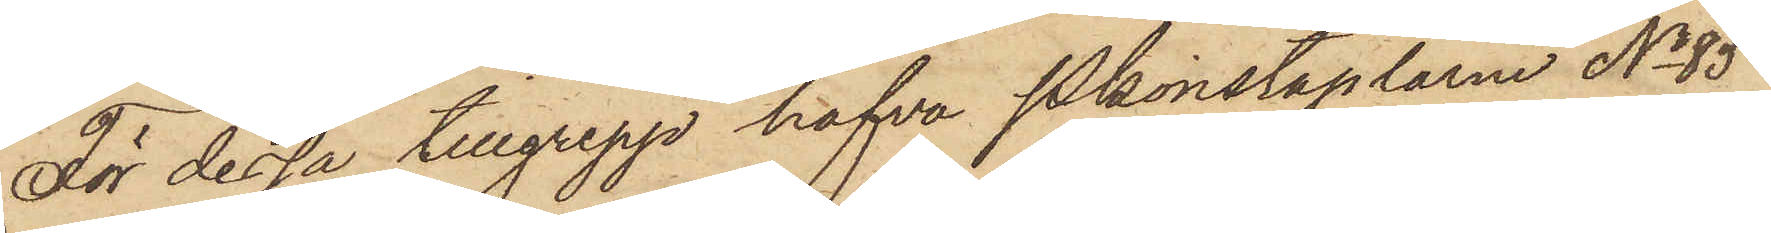För dessa tillgrepp hafva Pkonstaplarne No 85
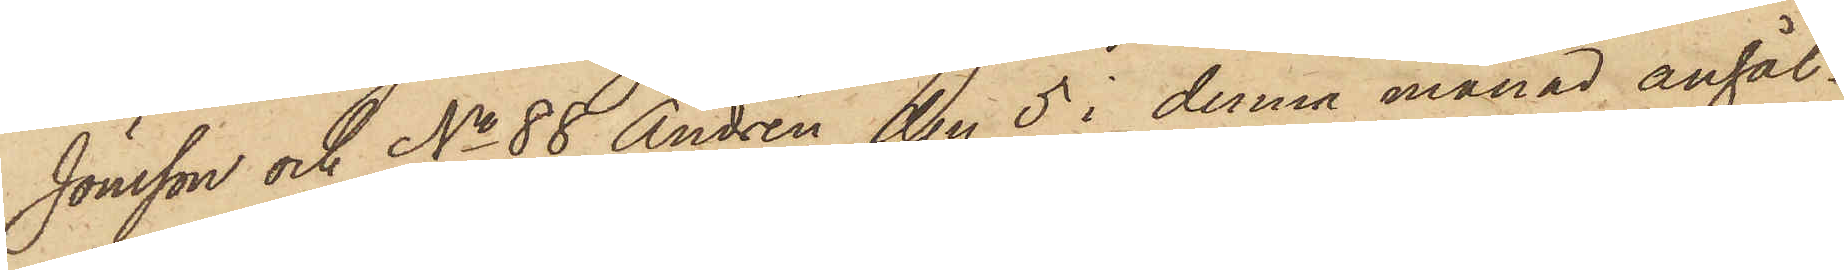Jonsson och No 88 Andrén den 5 i denna månad anhål¬
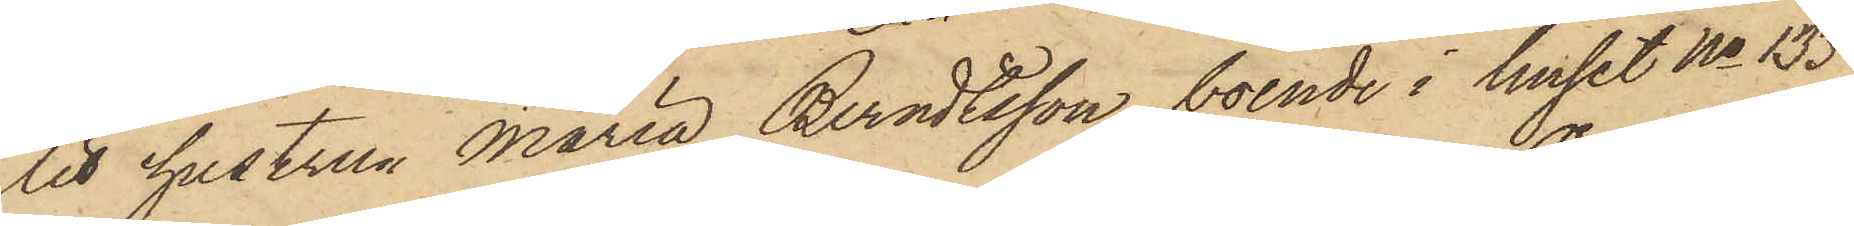lit hustrun Maria Berndtsson, boende i huset No 133
